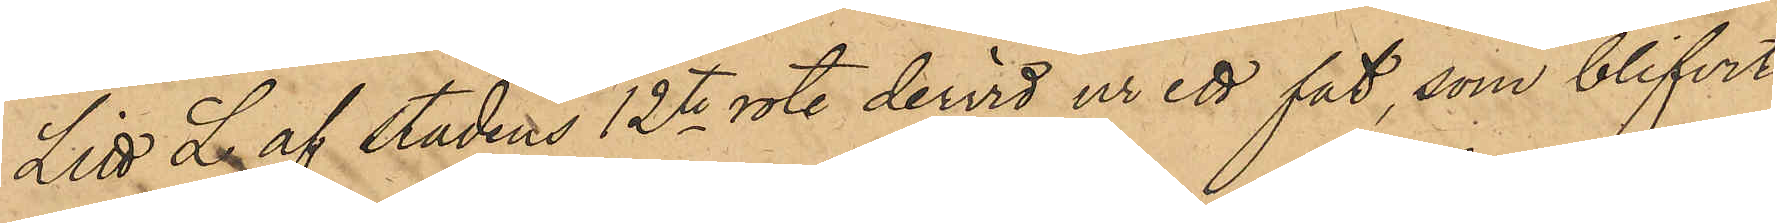Litt L af stadens 12te rote dervid ur ett fat, som blifvit
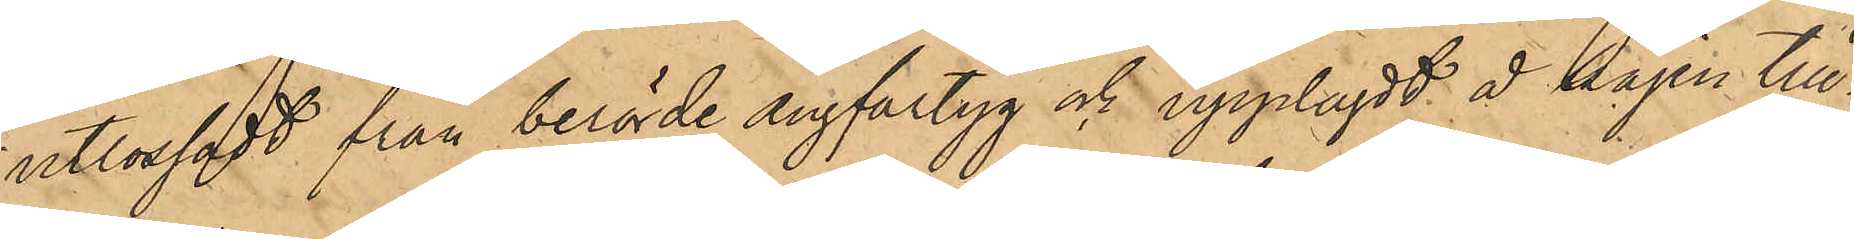utlossadt från berörde ångfartyg och upplagdt å kajen till¬
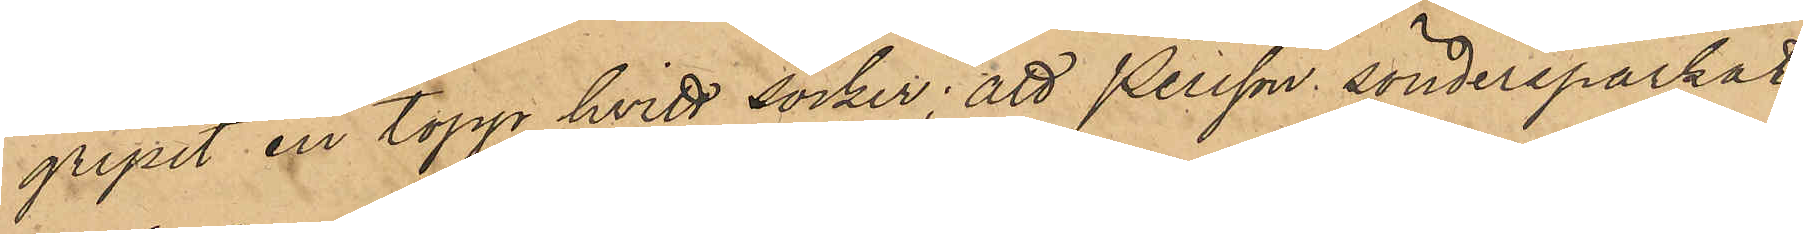gripit en topp hvitt socker; att Persson söndersparkat
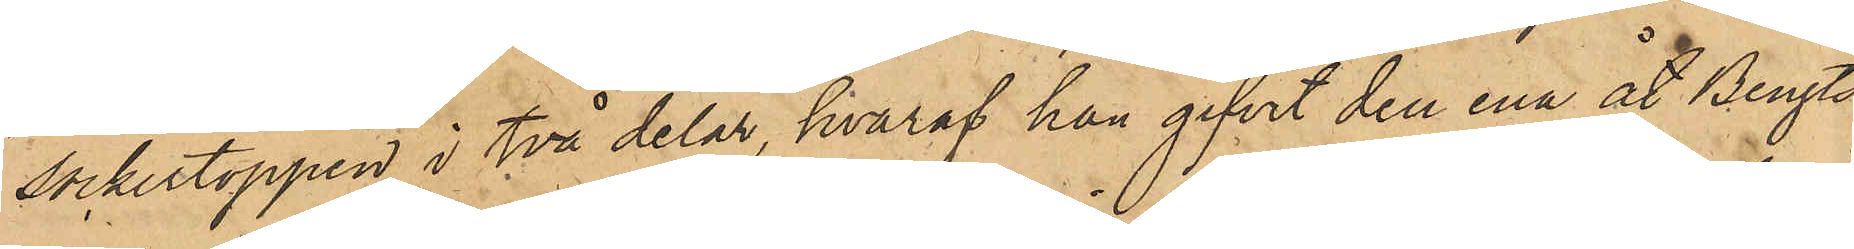sockertoppen i två delar, hvaraf han gifvit den ena åt Bengts¬
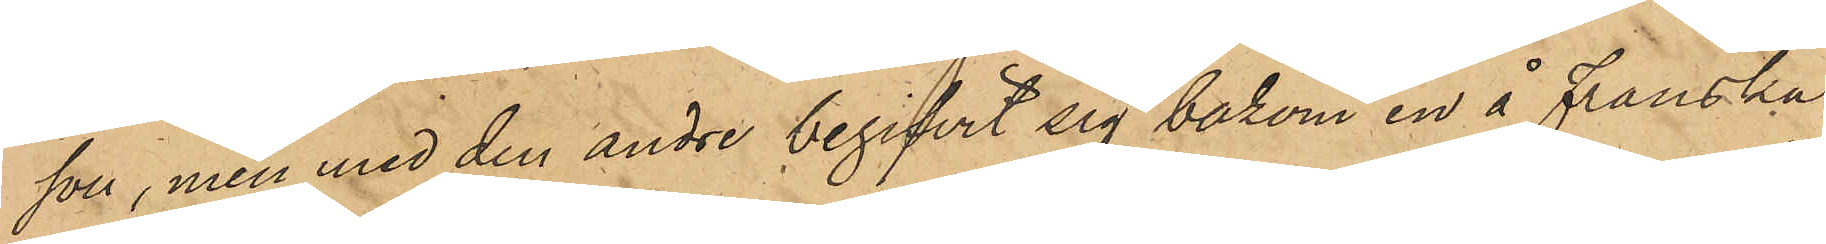son, men med den andre begifvit sig bakom en å franska
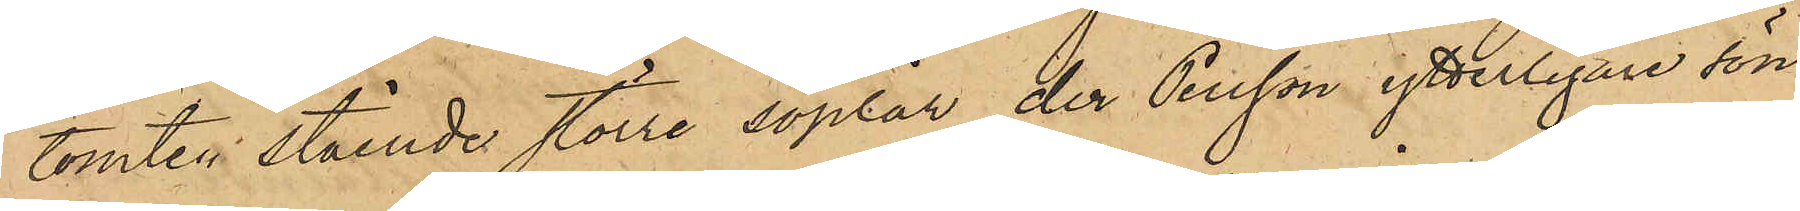tomten stående större soplår, der Persson ytterligare sön¬
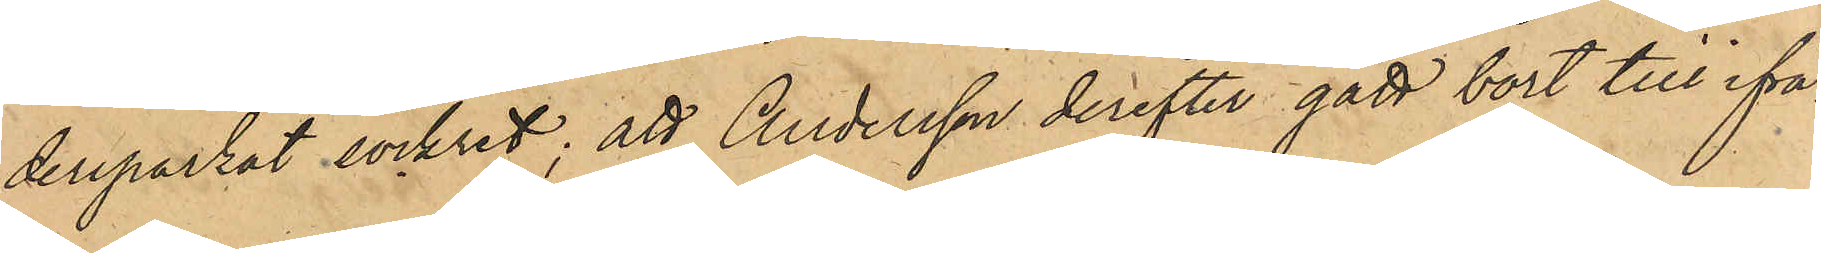dersparkat sockret; att Andersson derefter gått bort till ifrå¬
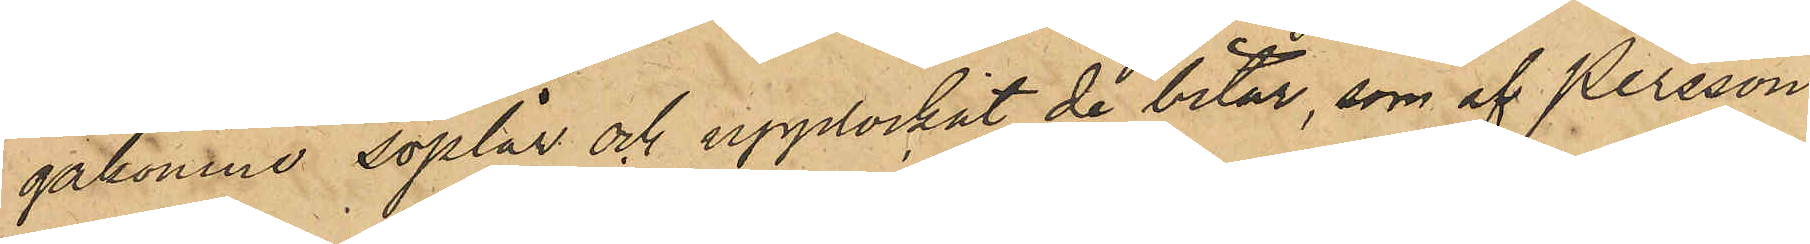gakomne soplår och upplockat de bitar, som af Persson
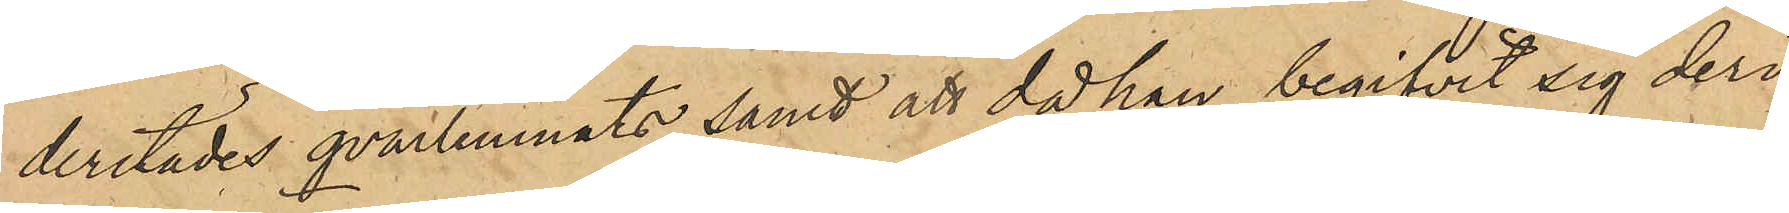derstädes qvarlemnats, samt att då han begifvit sig deri¬
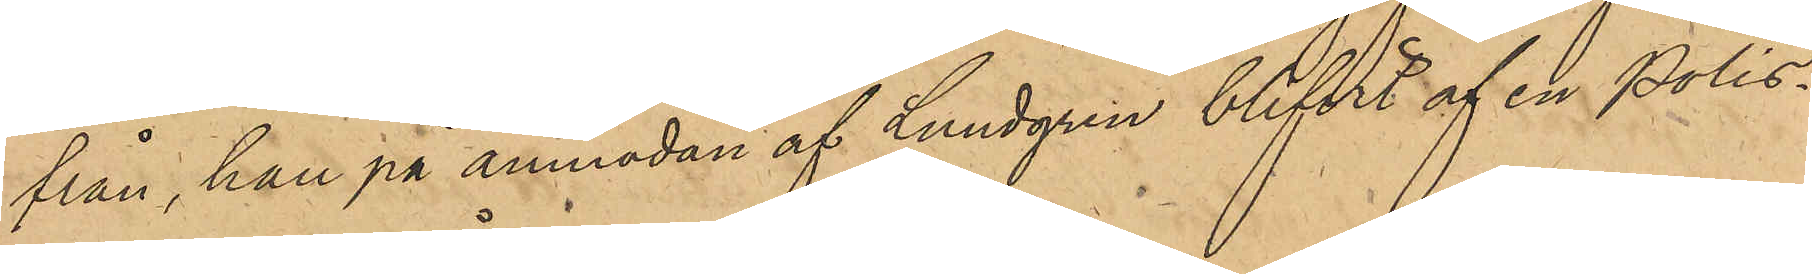från, han på anmodan af Lundgren blifvit af en Polis¬
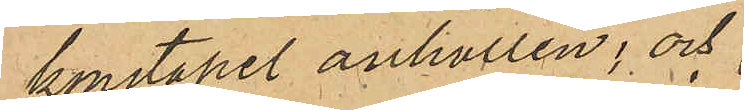konstapel anhållen; och
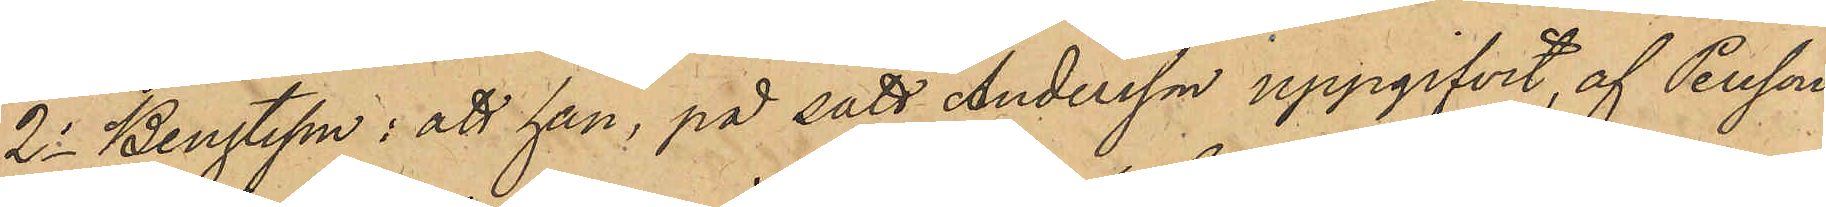2o Bengtsson: att han, på sätt Andersson uppgifvit, af Persson
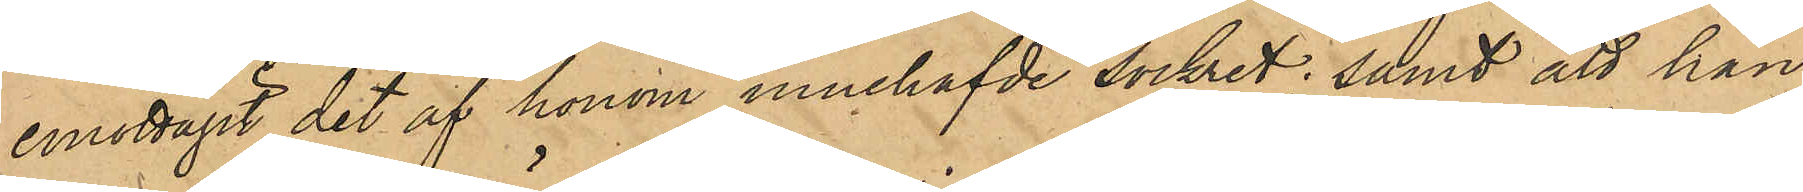emottagit det af honom innehafde sockret; samt att han
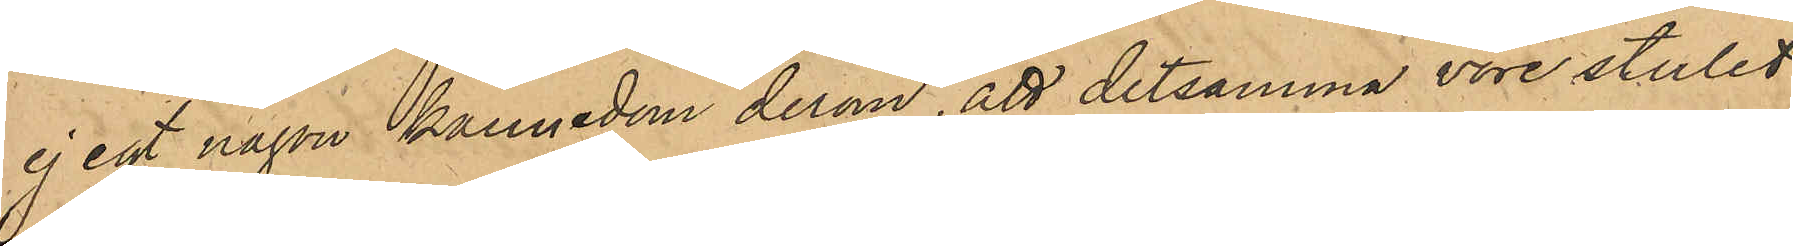ej egt kännedom derom, att detsamma vore stulet
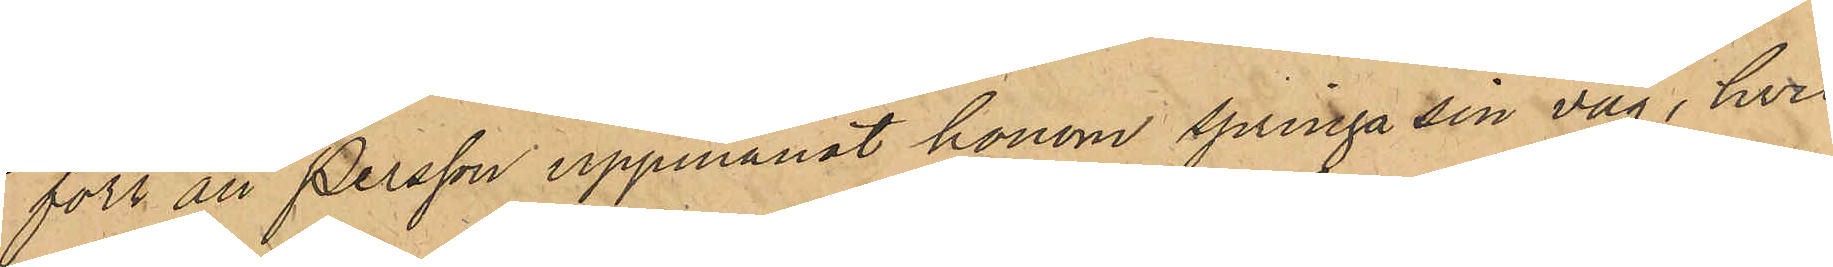förr än Persson uppmanat honom springa sin väg, hvil¬
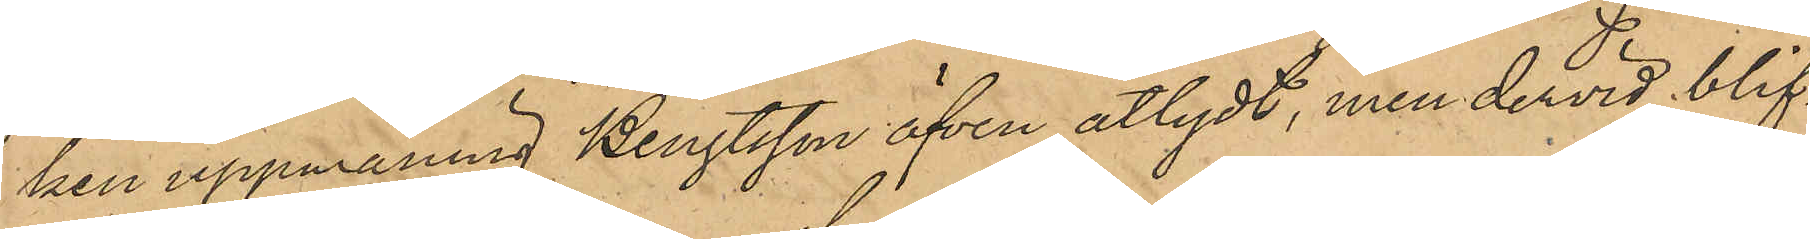ken uppmaning Bengtsson äfven åtlydt, men dervid blif¬
